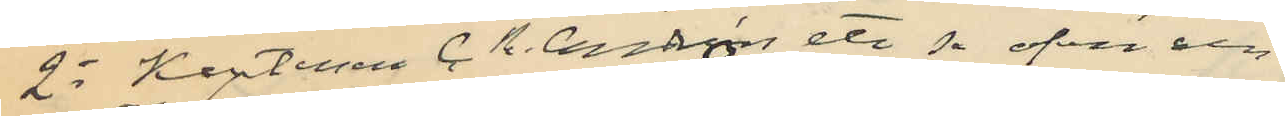2o Kaptenen C. R. Cendros ett se ofvan och
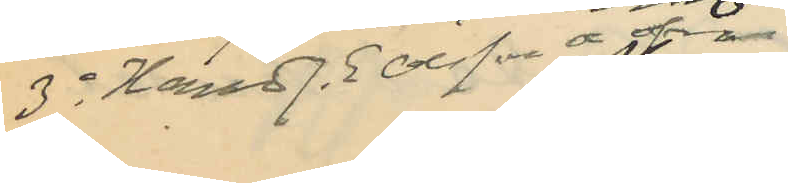3o Hand J. E. Olsson se ofvan
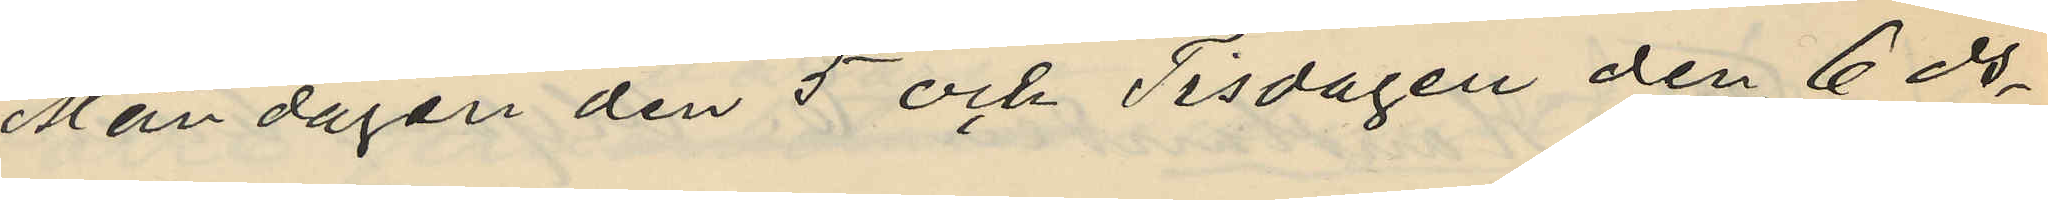Måndagen den 5 och Tisdagen den 6 ds
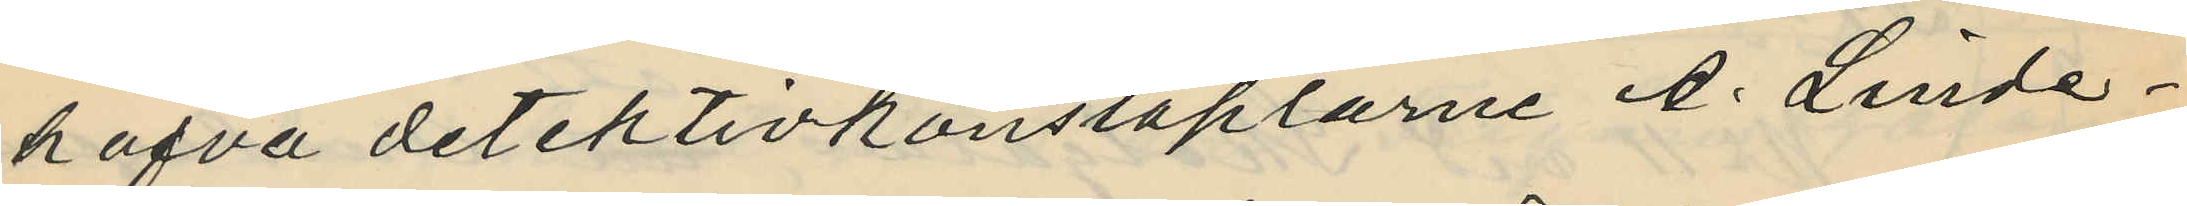hafva detektivkonstaplarne A. Linde¬
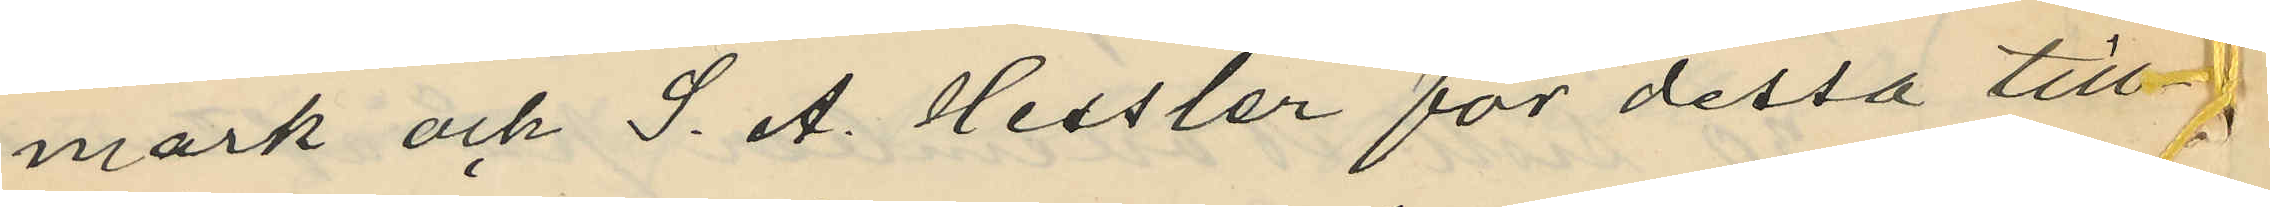mark och S. A. Hessler för dessa till¬
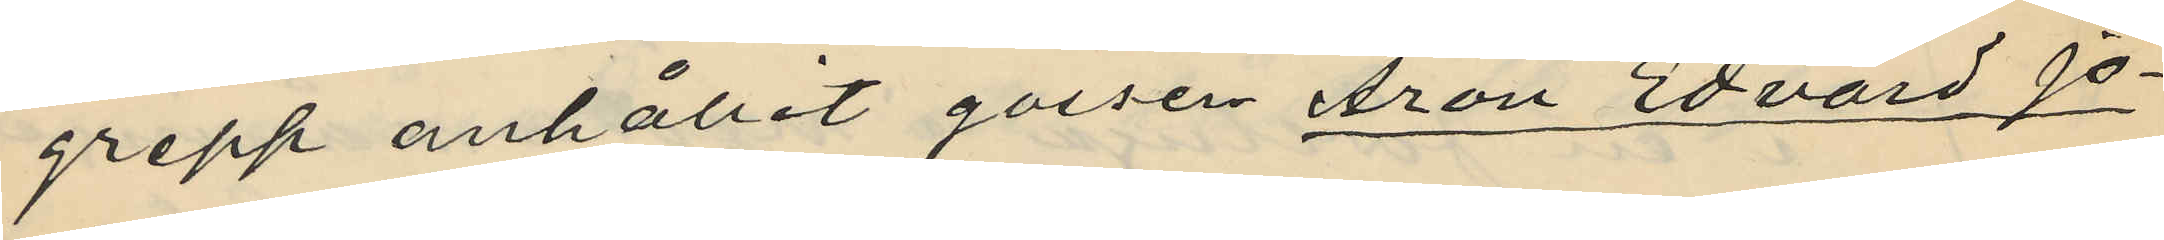grepp anhållit gossen Aron Edvard Jo¬
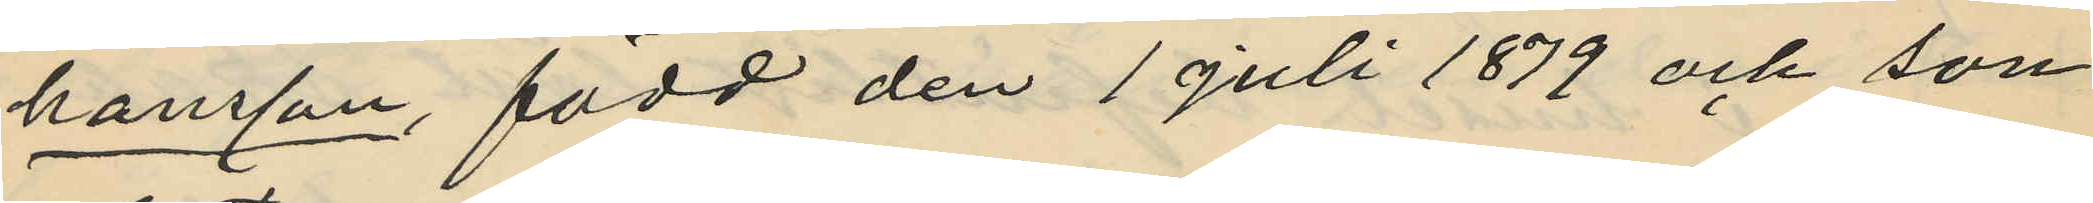hansson, född den 1 juli 1879 och son
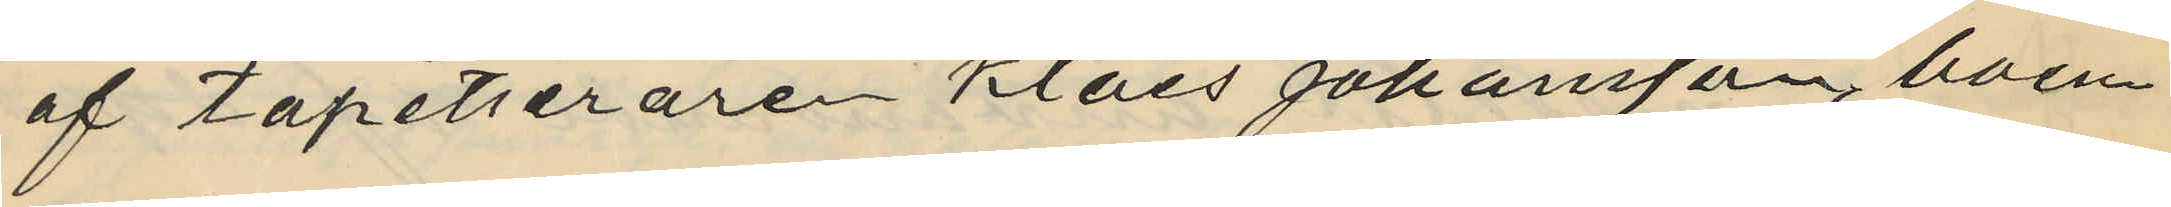af tapetseraren Klaes Johansson, boen¬
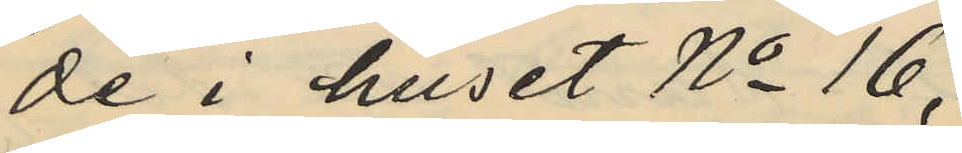de i huset No 16,
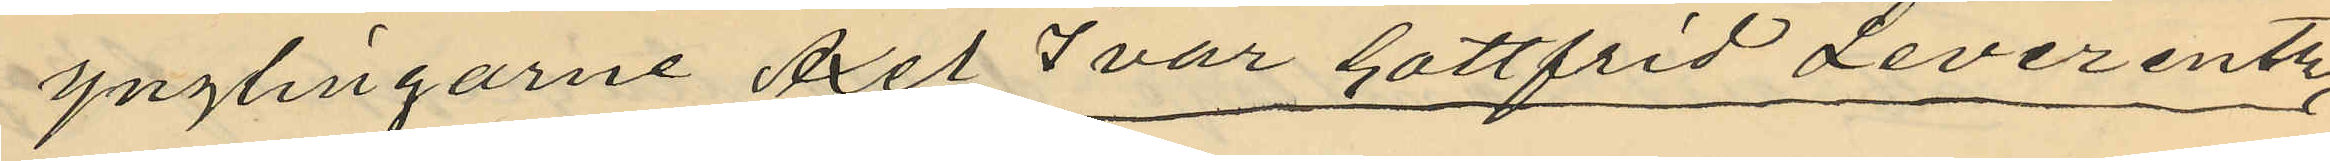ynglingarne Axel Ivar Gottfrid Leverentz
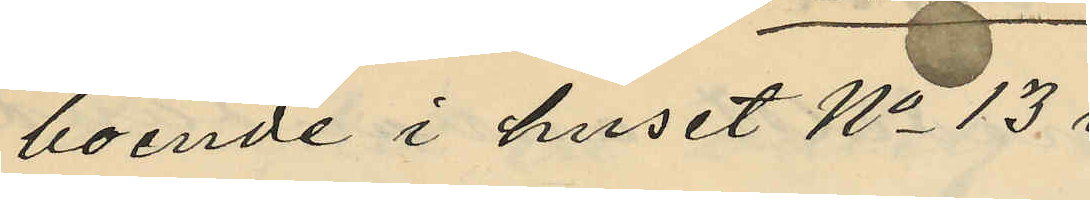boende i huset No 13
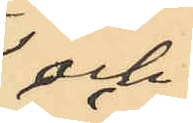och
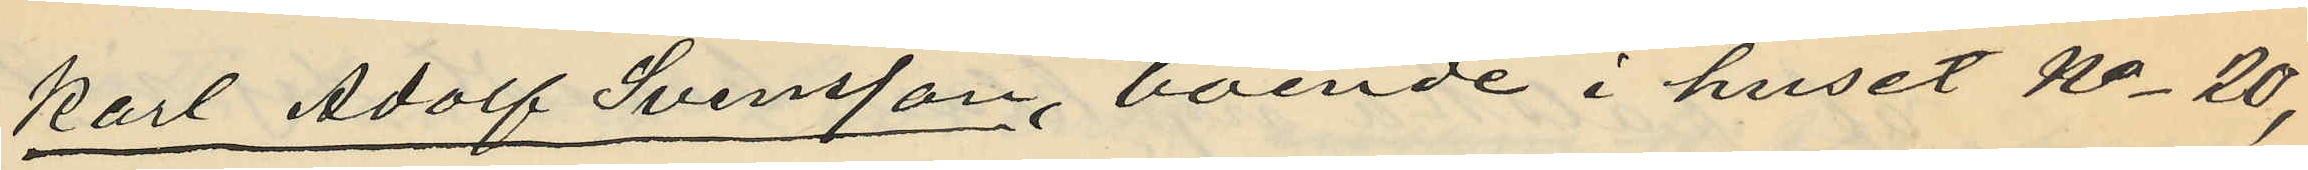Karl Adolf Svensson, boende i huset No 20,
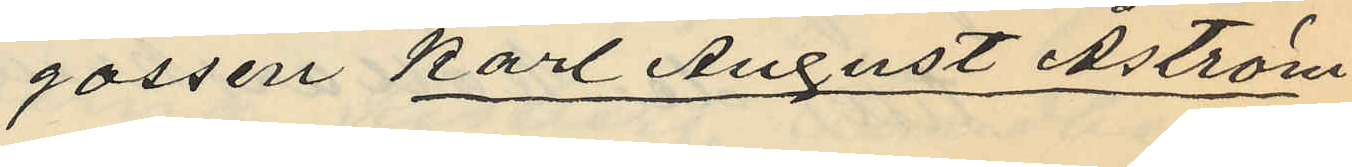gossen Karl August Åström
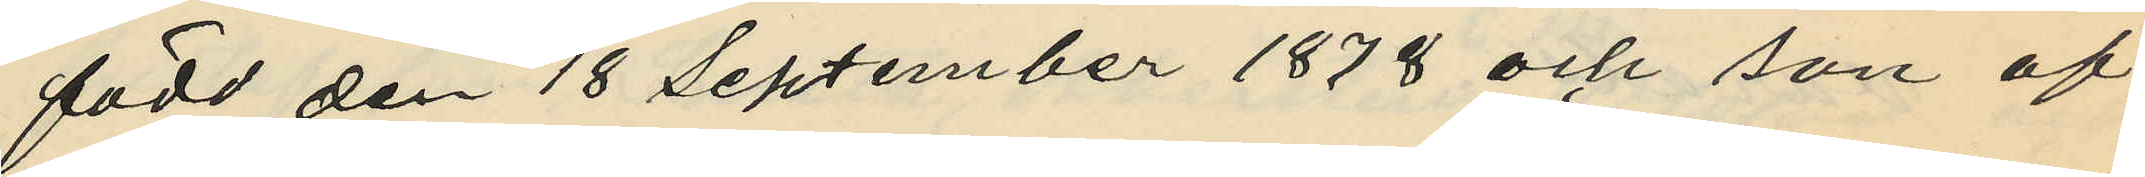född den 18 September 1878 och son af
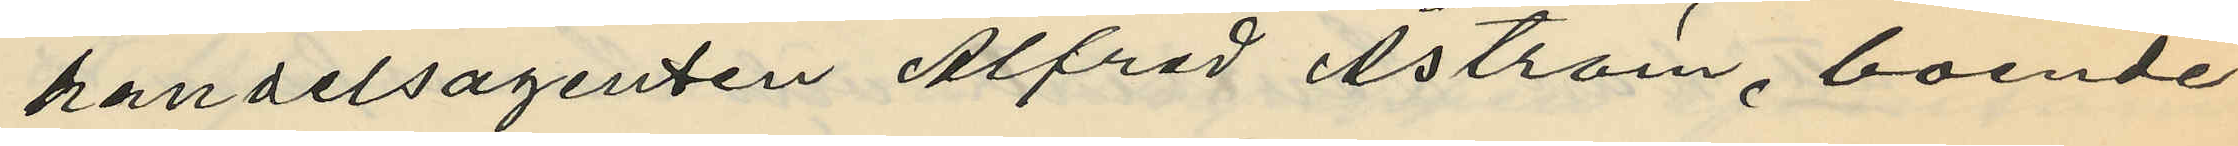handelsagenten Alfred Åström, boende
